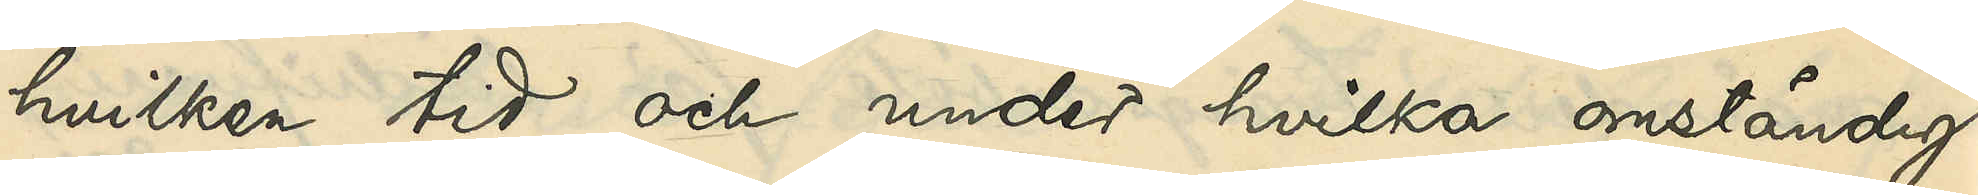hvilken tid och under hvilka omständig¬
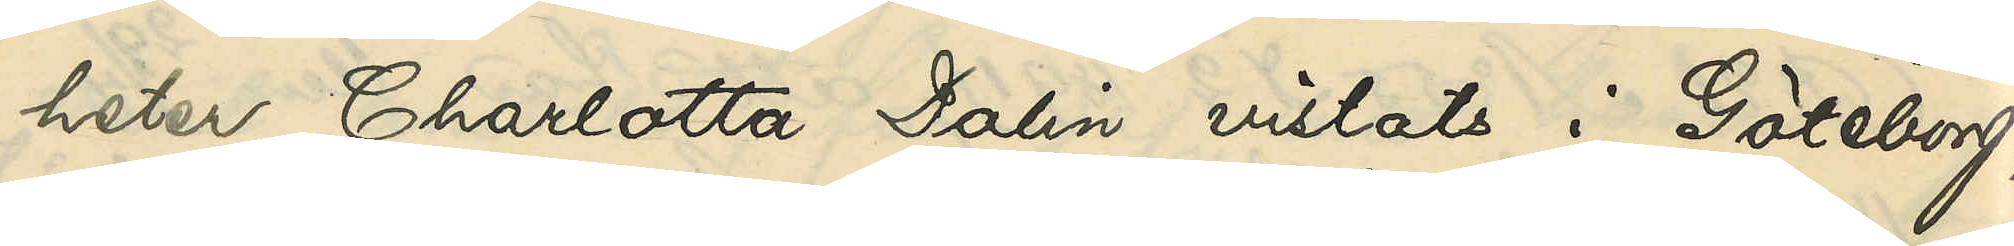heter Charlotta Dalin vistats i Göteborg,
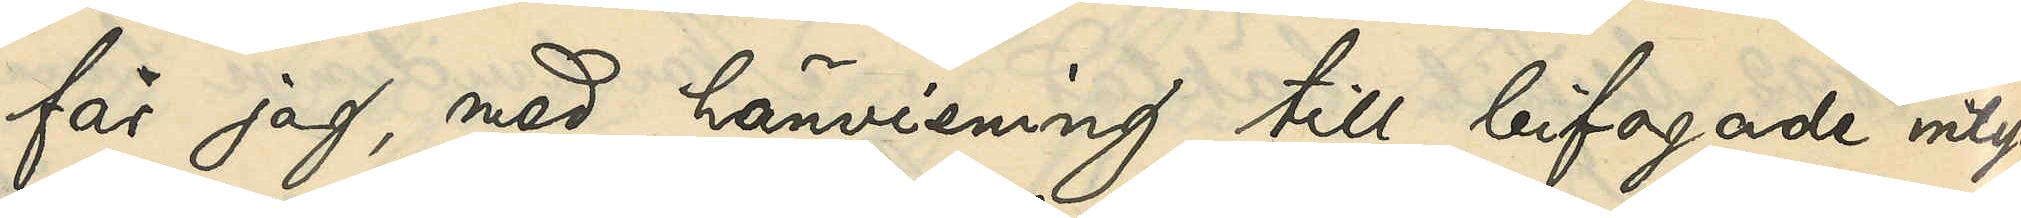får jag, med hänvisning till bifogade intyg
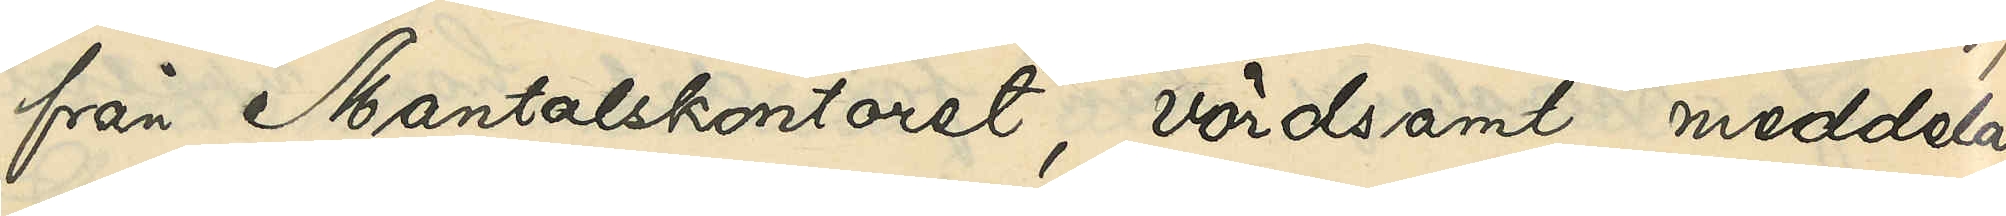från Mantalskontoret, vördsamt meddela
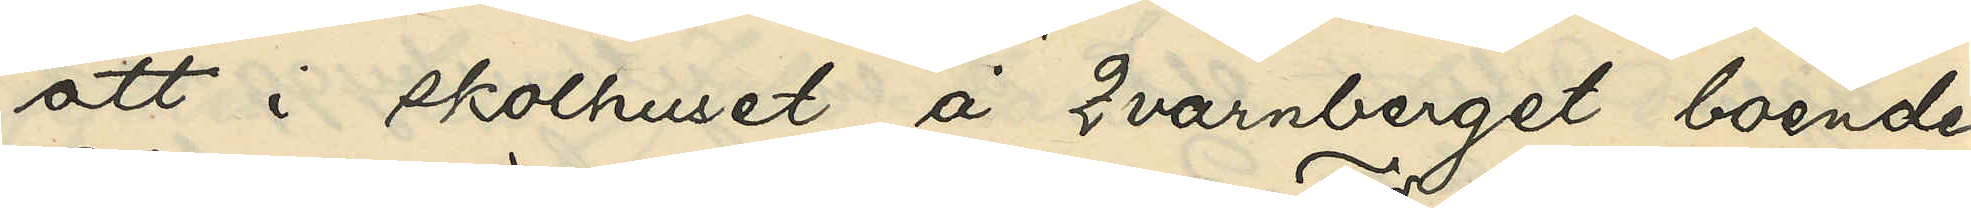att i skolhuset å Qvarnberget boende
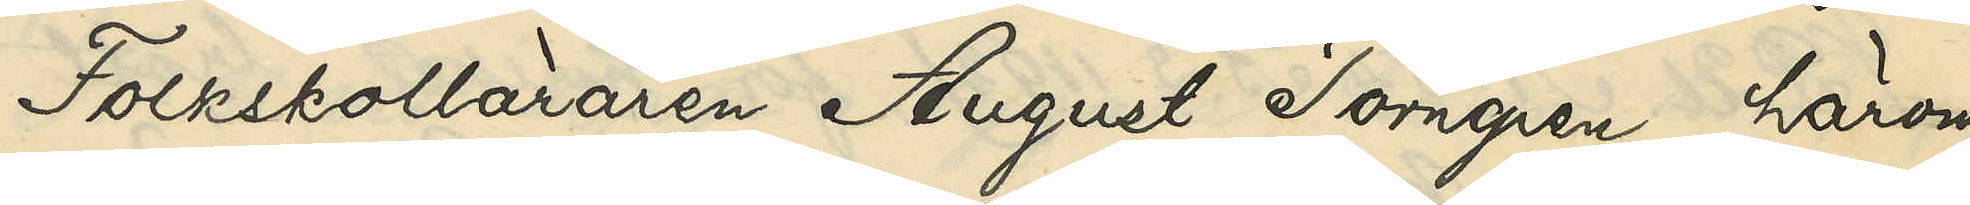Folkskolläraren August Törngren, härom
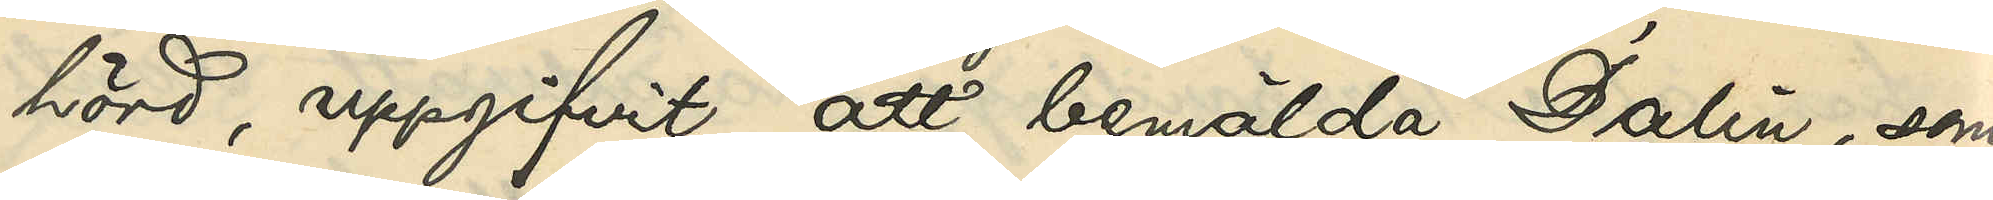hörd, uppgifvit, att bemälda Dalin, som
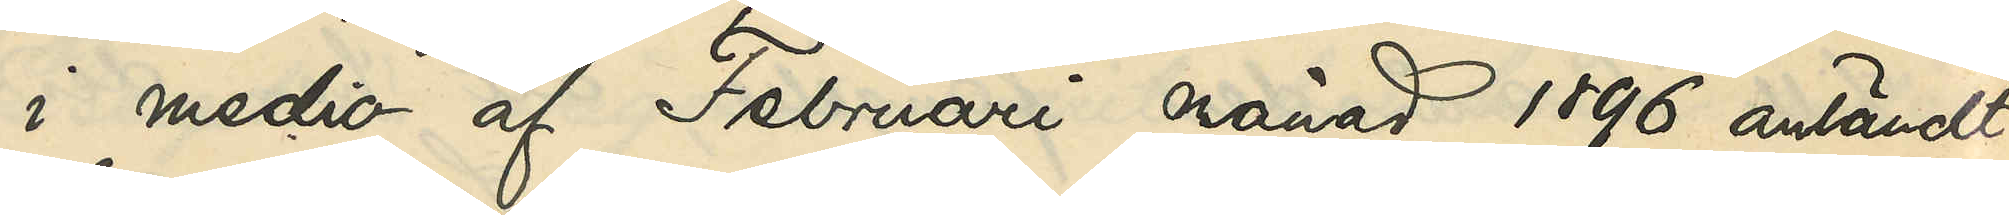i medio af Februari månad 1896 anländt
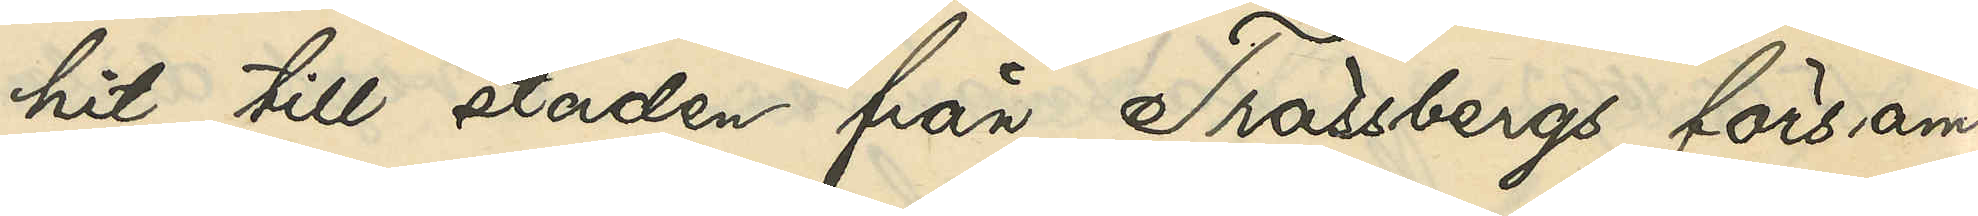hit till staden från Trässbergs försam¬
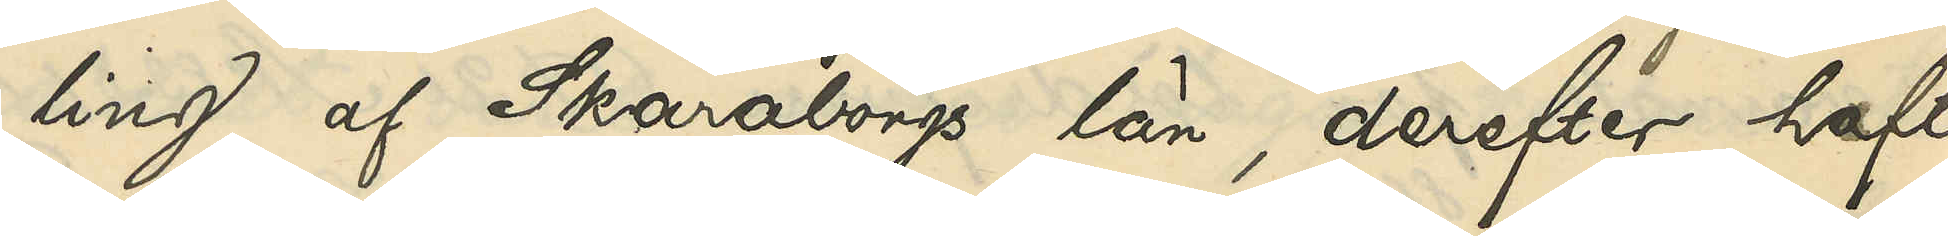ling af Skaraborgs län, derefter haft
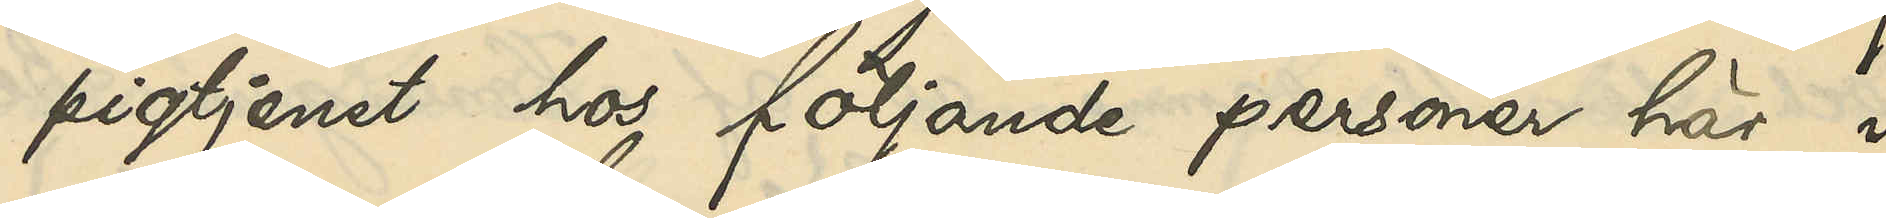pigtjenst hos följande personer här i
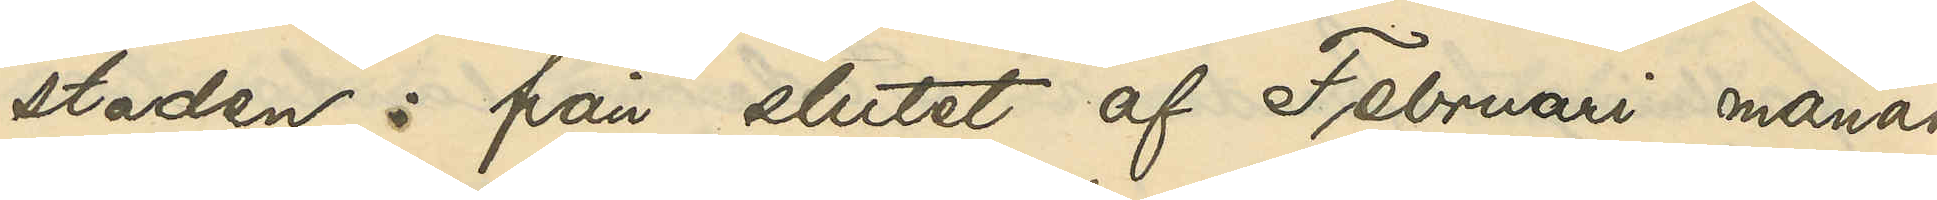staden: från slutet af Februari månad
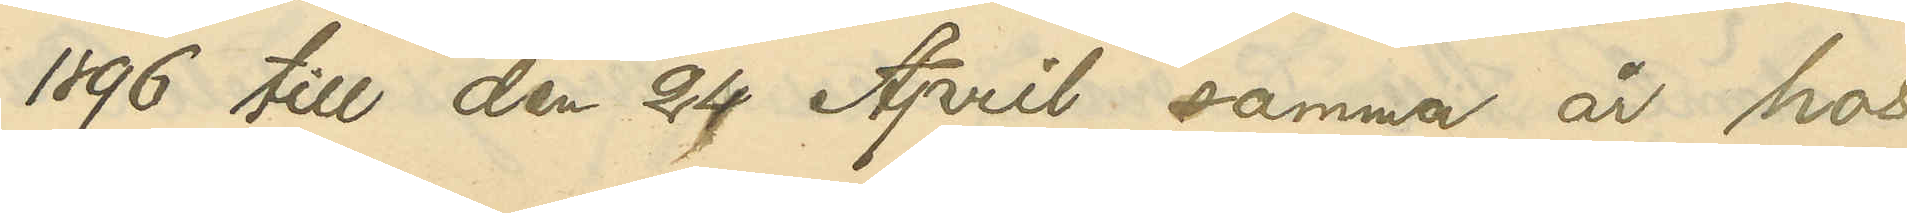1896 till den 24 April samma år hos
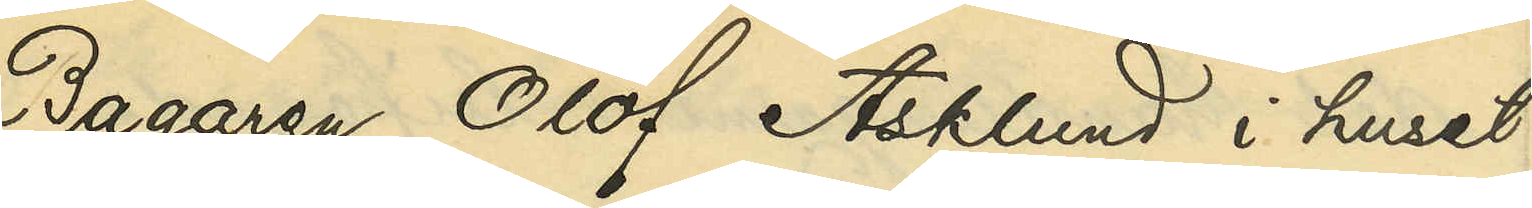Bagaren Olof Asklund i huset 
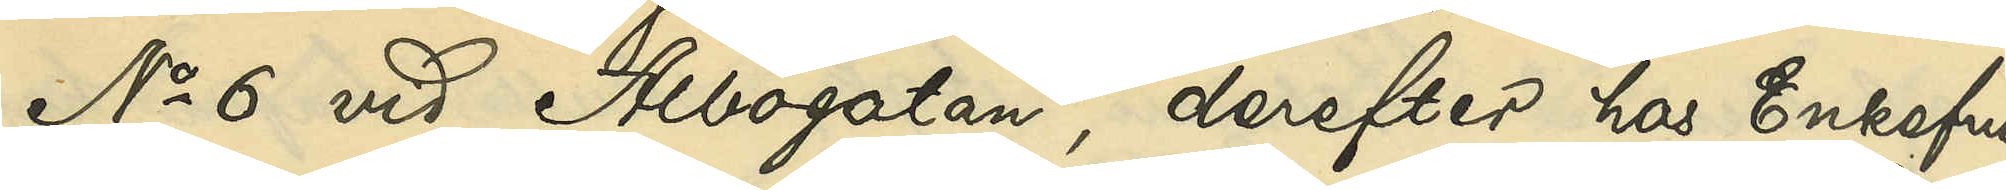No 6 vid Albogatan, derefter hos Enkefru
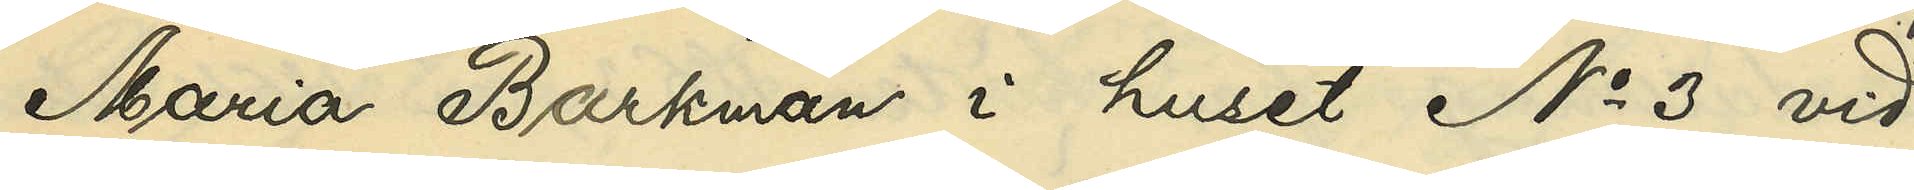Maria Barkman i huset No 3 vid
